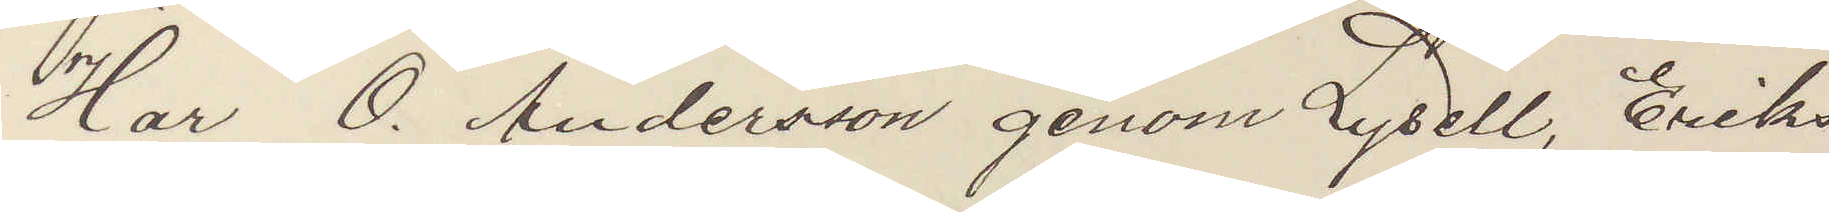Har O. Andersson genom Lysell, Eriks¬
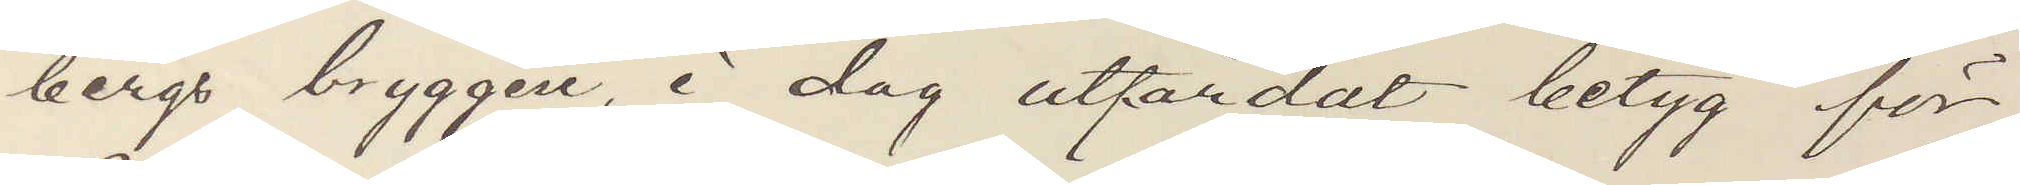bergs bryggeri, i dag utfärdat betyg för
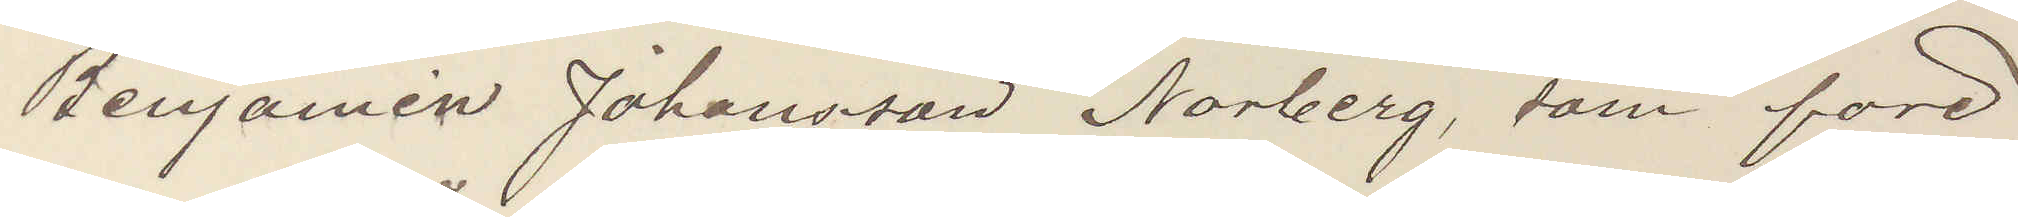Benjamin Johansson Norberg, som före¬
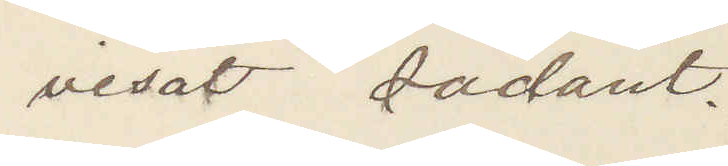visat sådant.
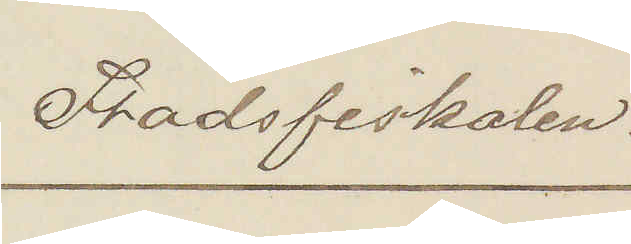Stadsfiskalen.
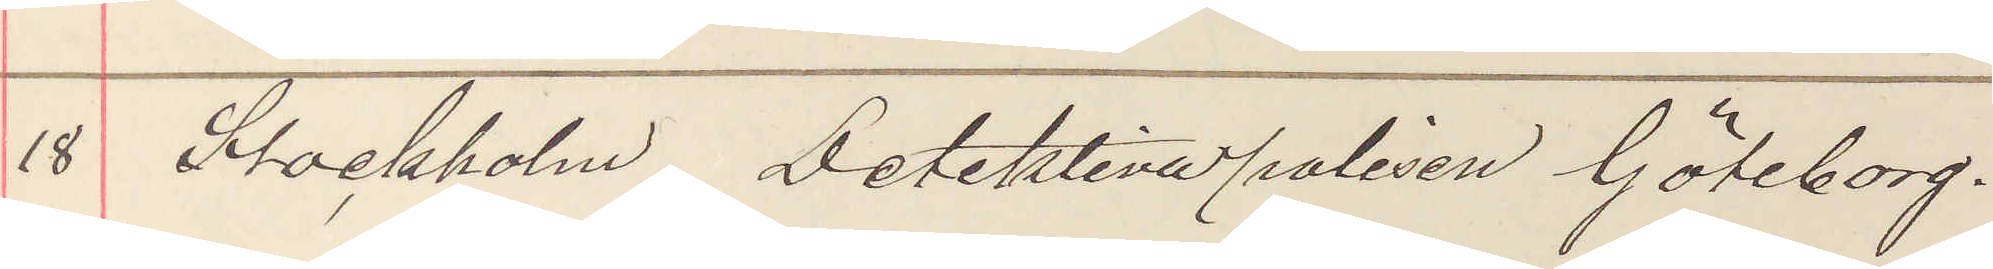18 Stockholm detektiva polisen Göteborg.
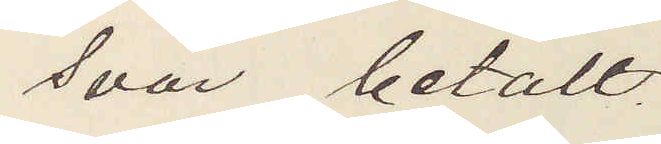Svar betalt.
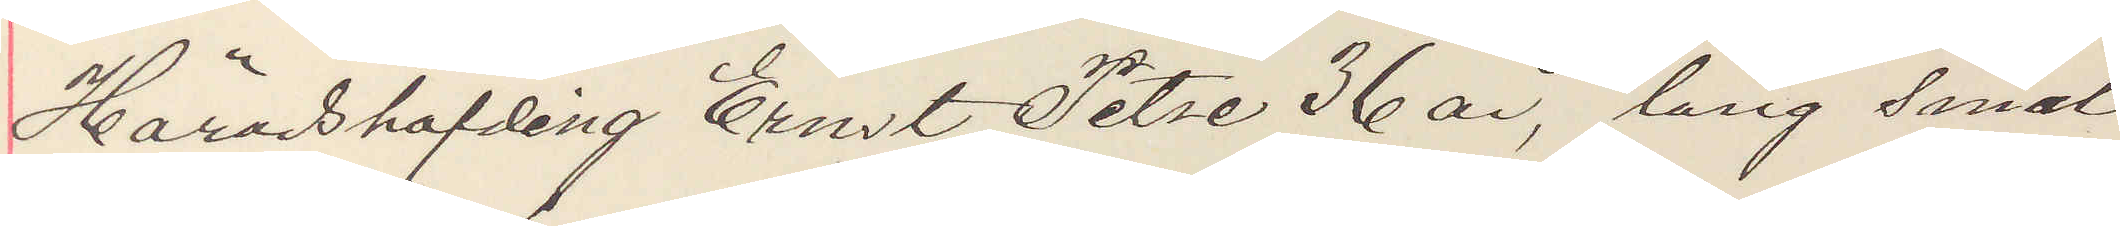Häradshöfding Ernst Petre 36 år, lång smal
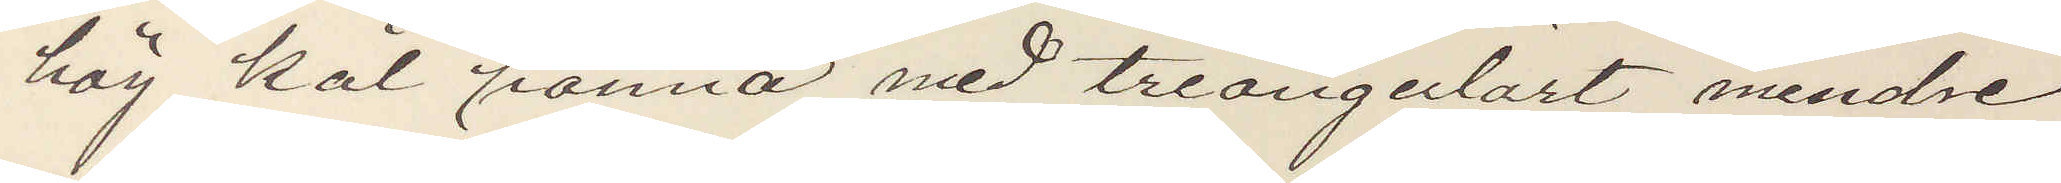hög kal panna med triangulärt mindre
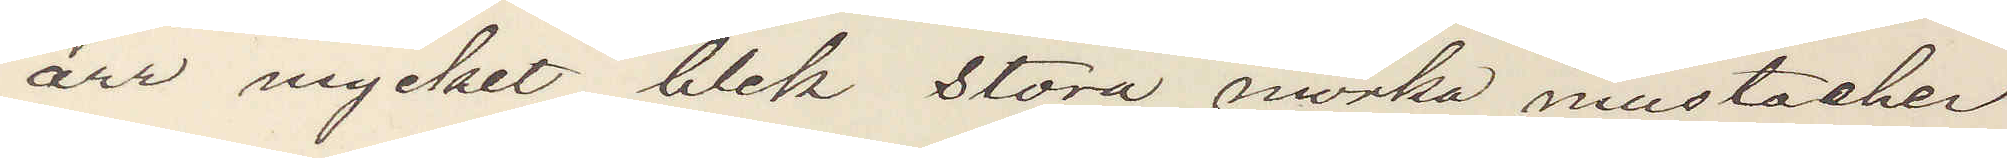ärr mycket blek stora mörka mustacher
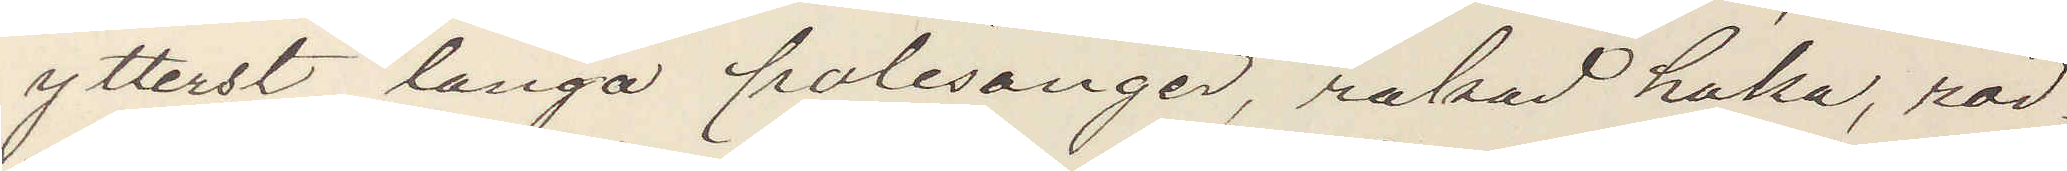ytterst långa polisonger, rakad haka, röd¬
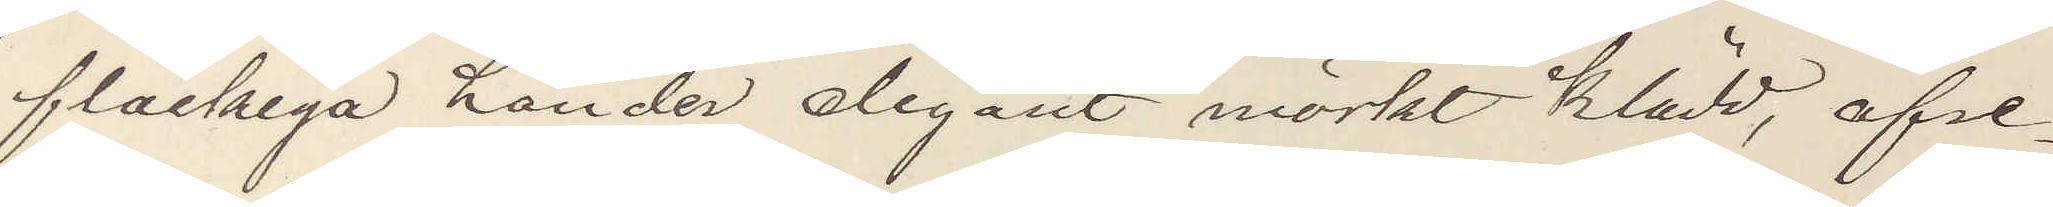fläckiga händer elegant mörkt klädd, afre¬
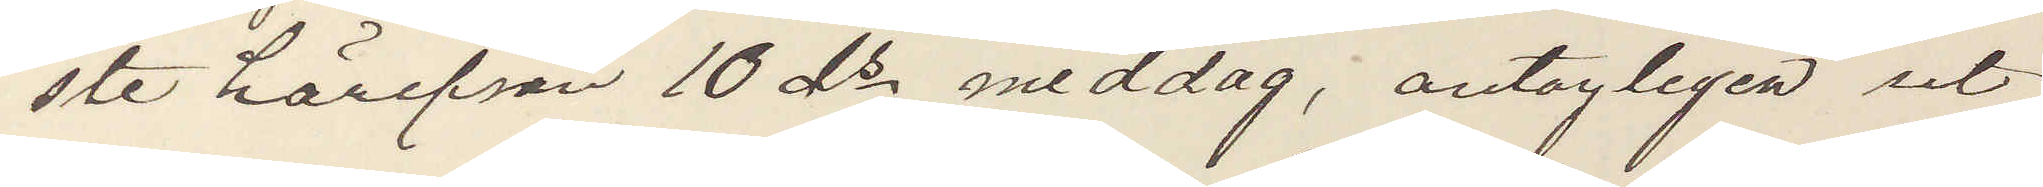ste härifrån 10 ds middag, antagligen ut¬
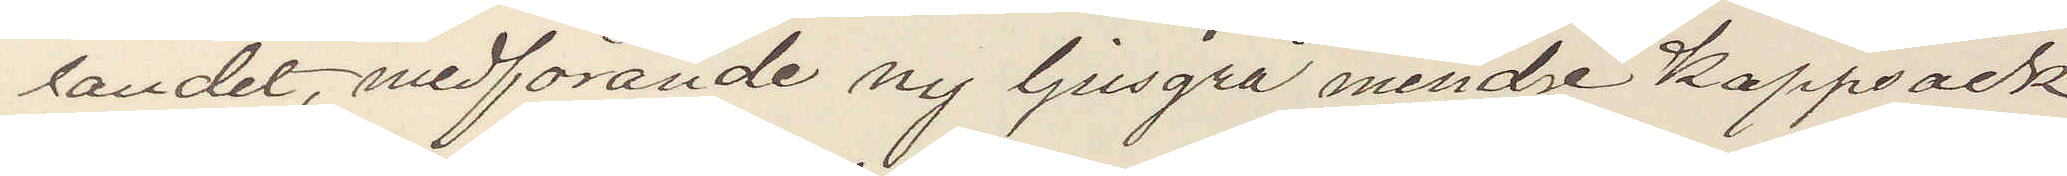landet, medförande ny ljusgrå mindre kappsäck
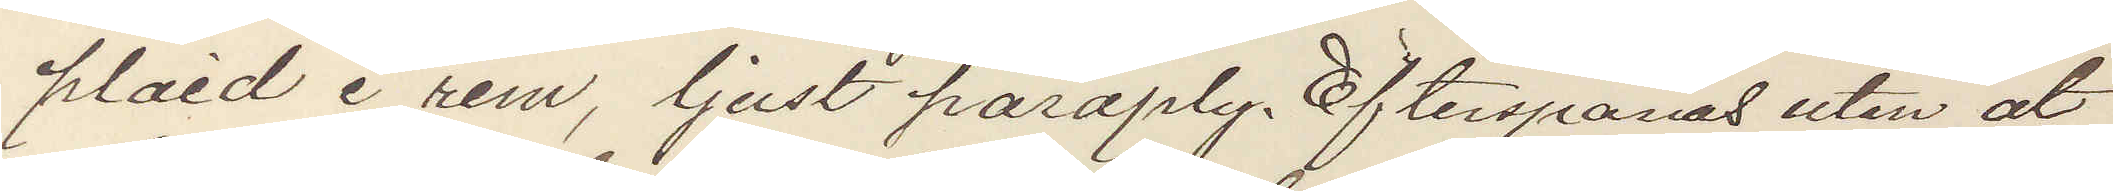plaid i rem, ljust parply. Efterspanas utan åt¬
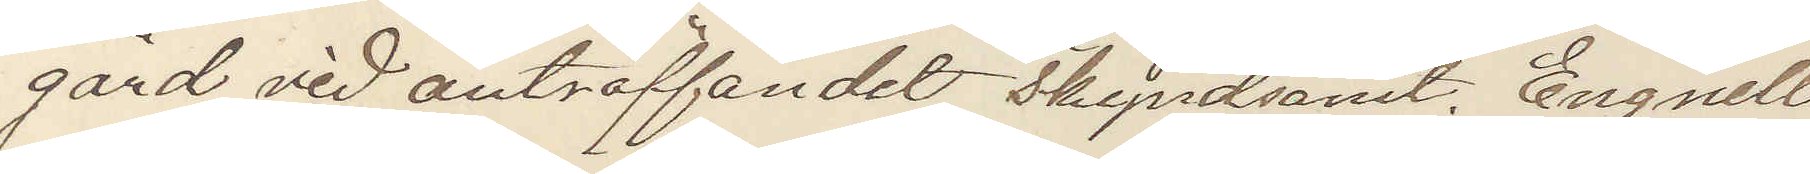gärd vid anträffandet skyndsamt. Engnell
